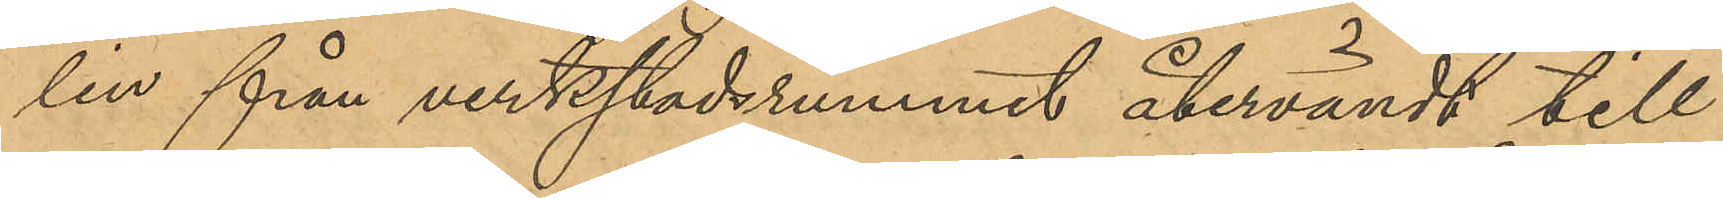lin från verkstadsrummet återvändt till
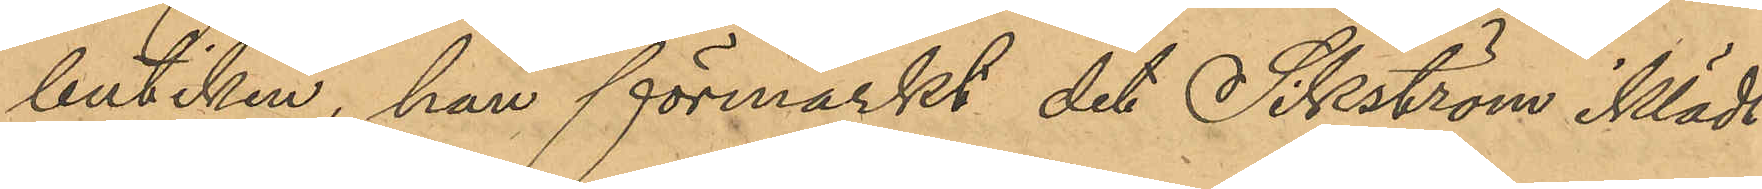butiken förmärkt det Sikström iklädt
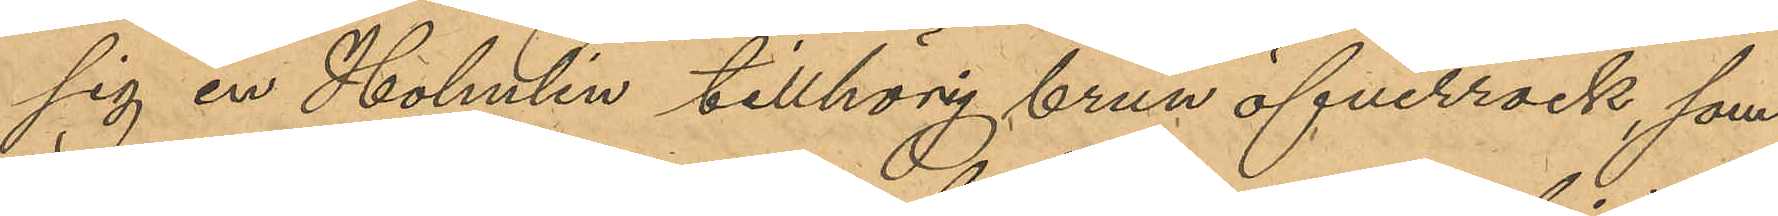sig en Holmlin tillhörig brun öfverrock, som
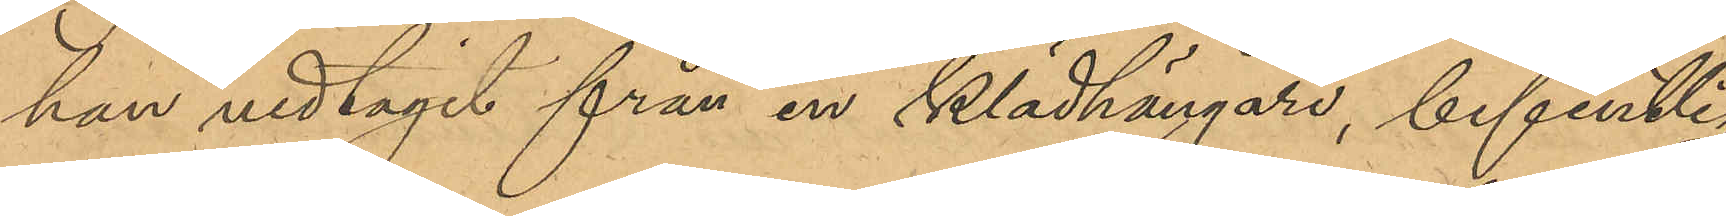han nedtagit från en klädhängare, befintlig
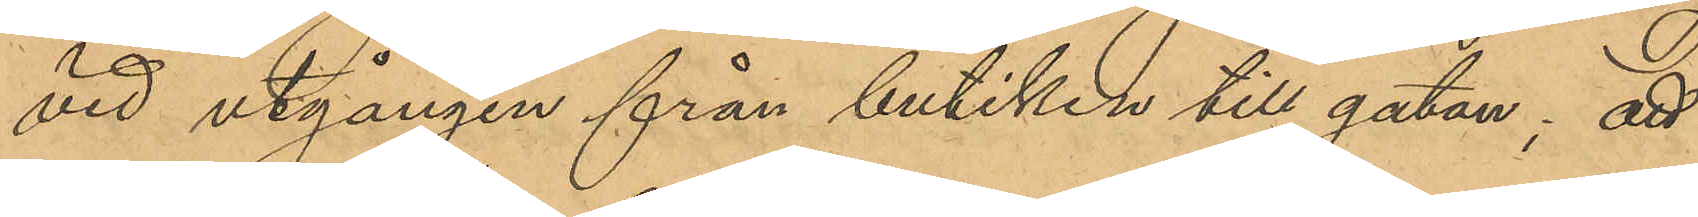vid utgången från butiken till gatan; att
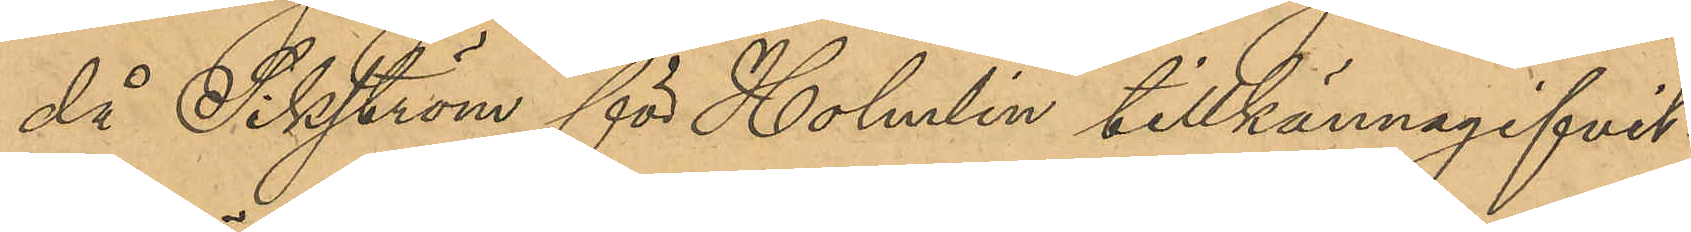då Sikström för Holmlin tillkännagifvit
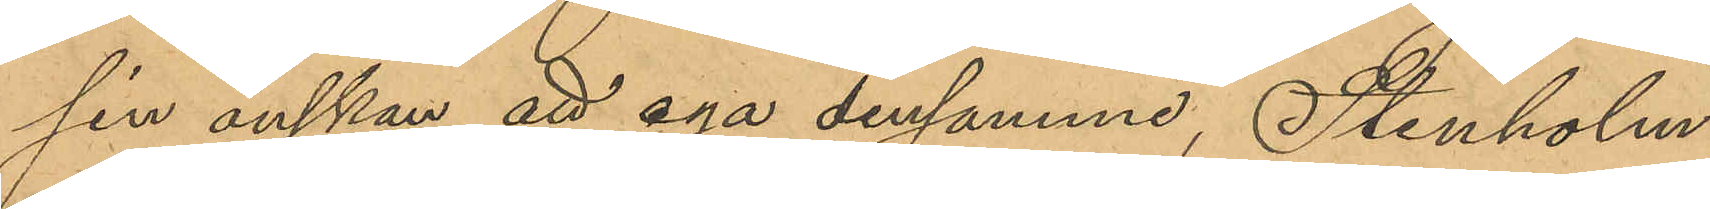sin önskan att ega densamme, Stenholm
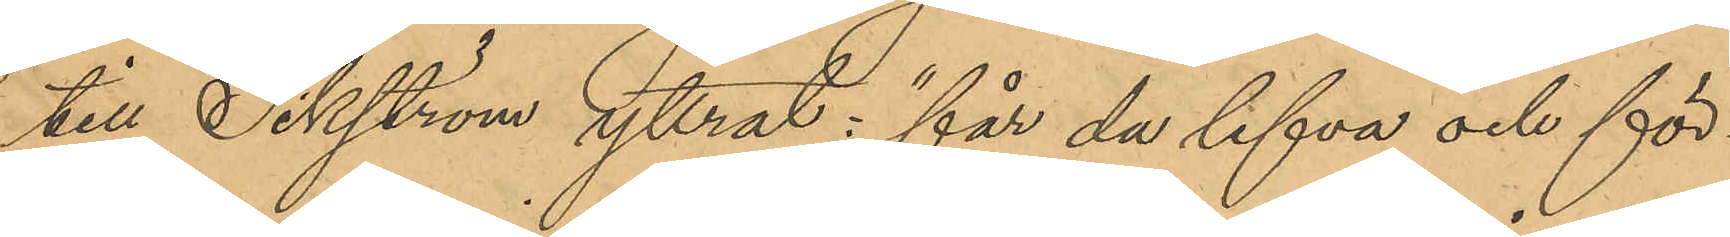till Sikström yttrat: "får du lefva och för¬
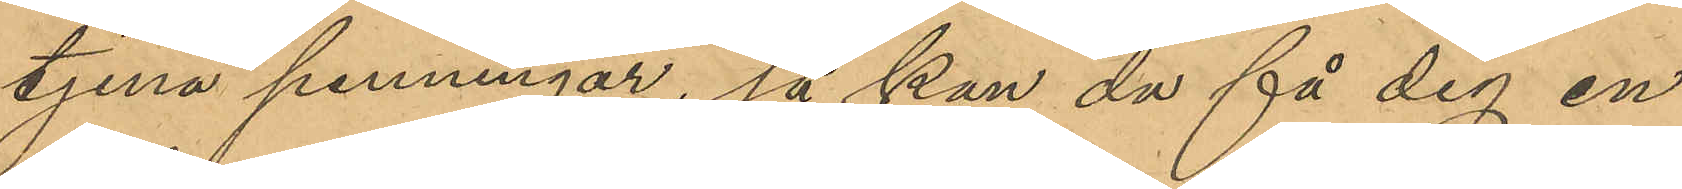tjena penningar, så kan du få dig en
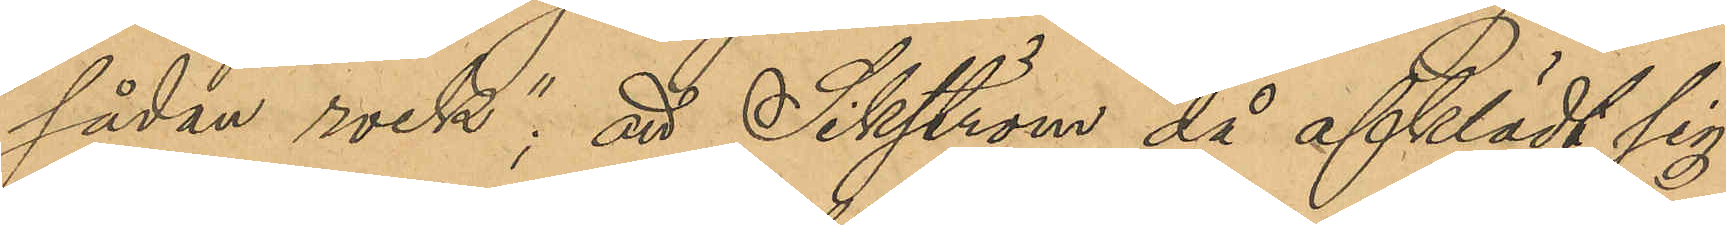sådan rock"; att Sikström då afklädt sig
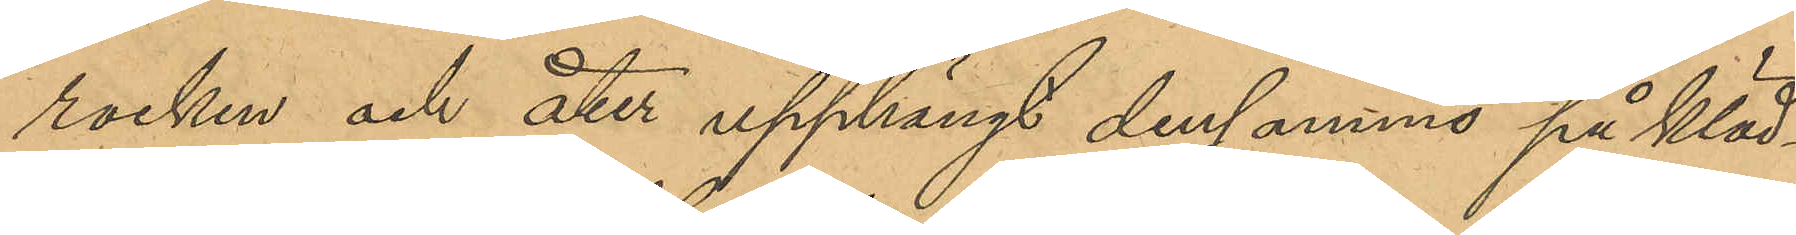rocken och åter upphängt densamma på kläd¬
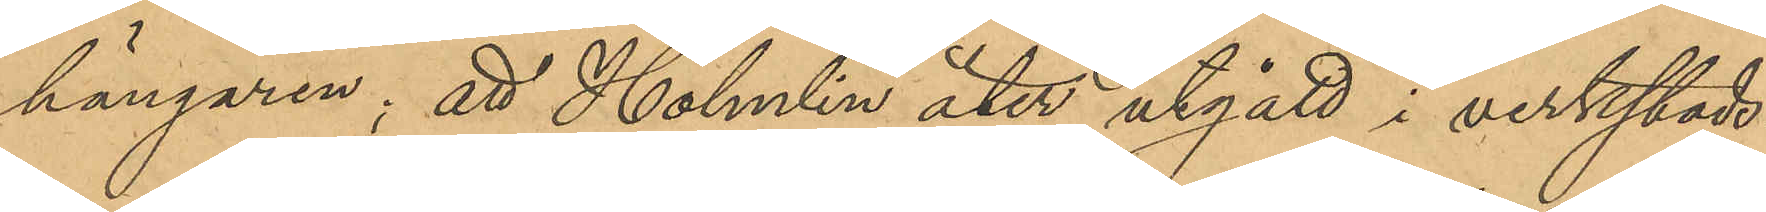hängaren; att Holmlin åter utgått i verkstads¬
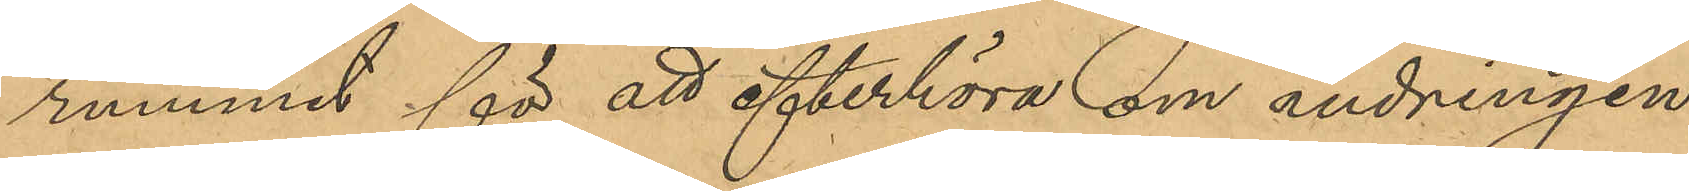rummet för att efterhöra om ändringen
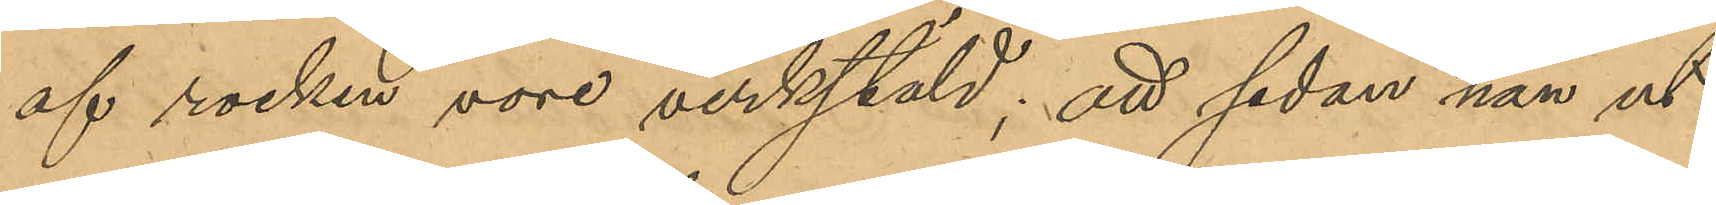af rocken vore verkstäld; att sedan han ut¬
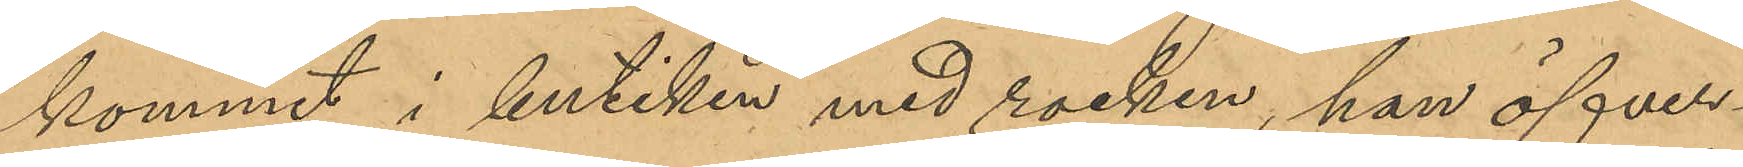kommit i butiken med rocken, han öfver¬
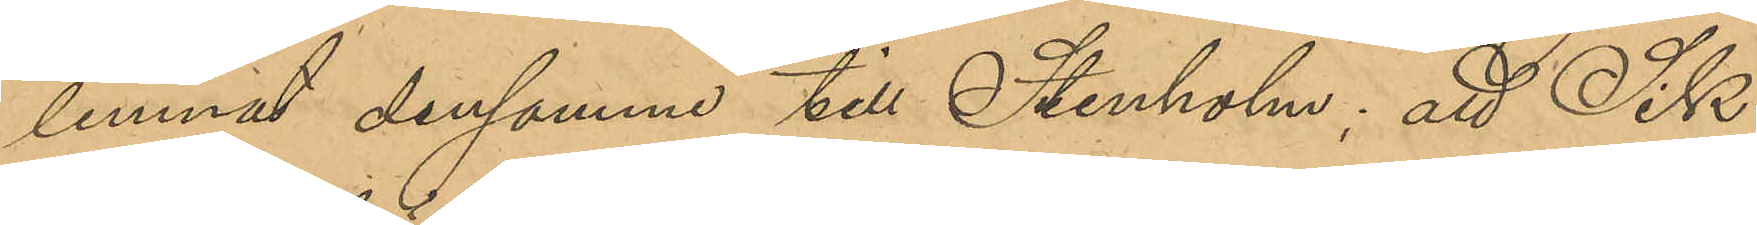lemnat densamme till Stenholm; att Sik¬
